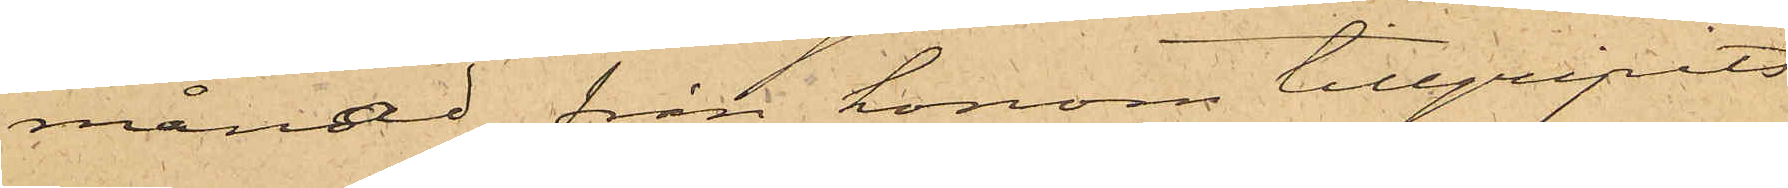månad från honom tillgripits
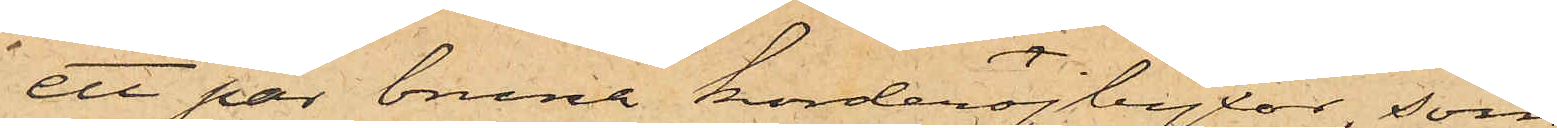ett par bruna korderojbyxor, som
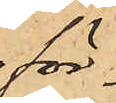för¬
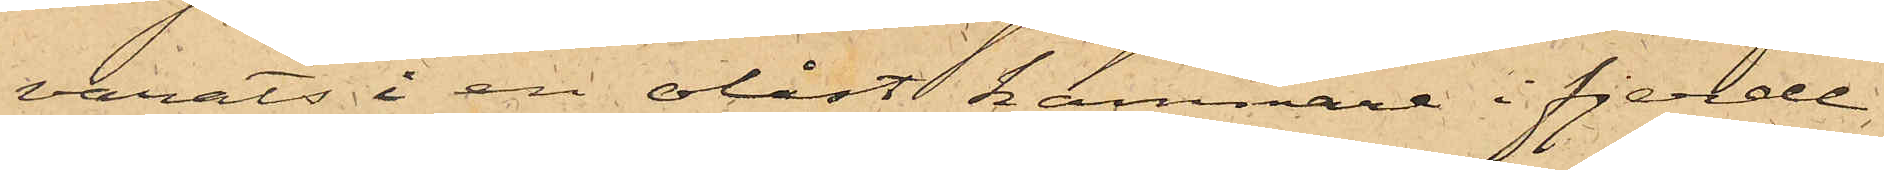varats i en olåst kammare i fjerde
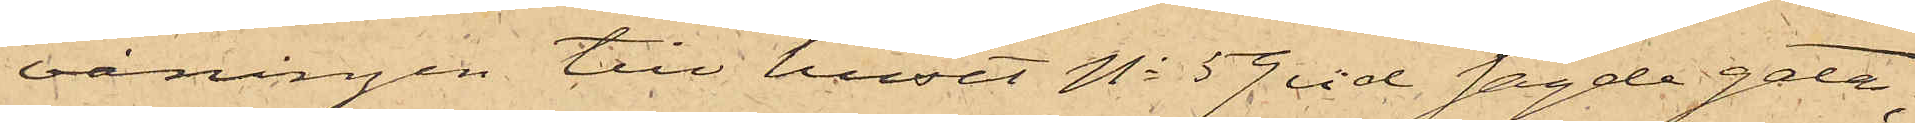våningen till huset No 59 vid sagde gata;
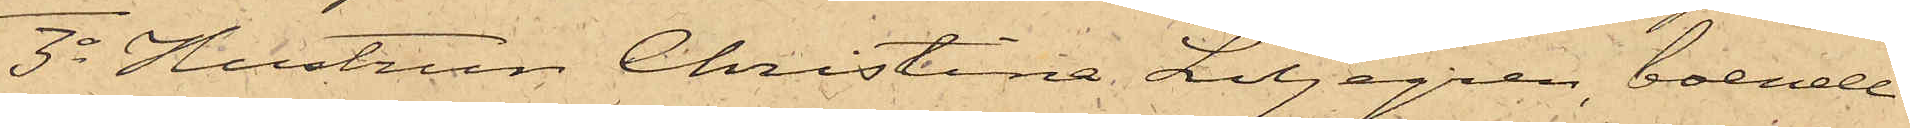3o Hustrun Christina Liljegren, boende
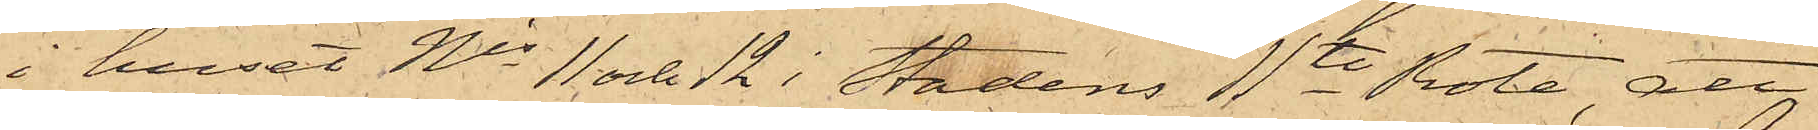i huset Nis 11 och 12 i Stadens 11te Rote, att
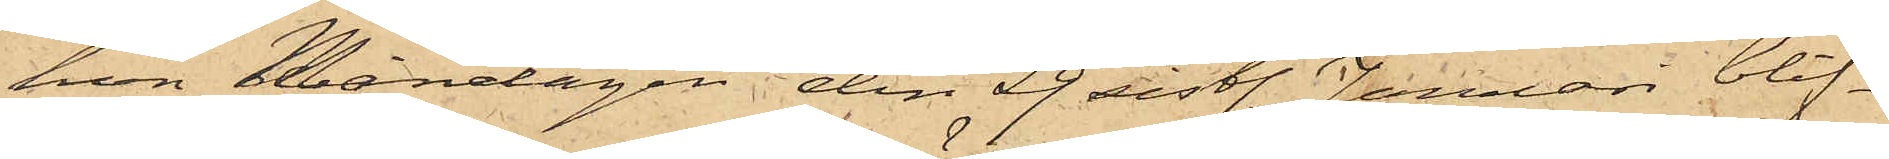hon Måndagen den 29 sistl. Januari blif¬
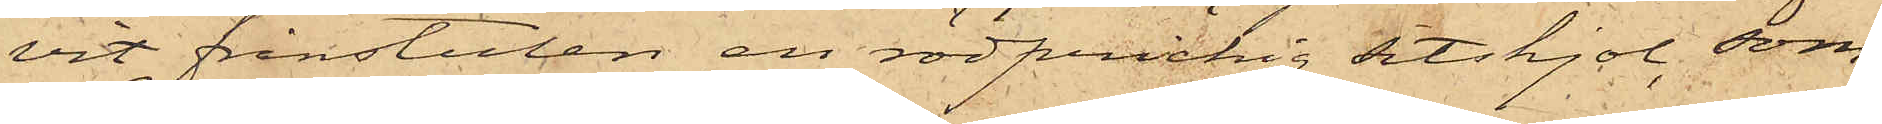vit frånstulen en rödprickig sitskjol, som
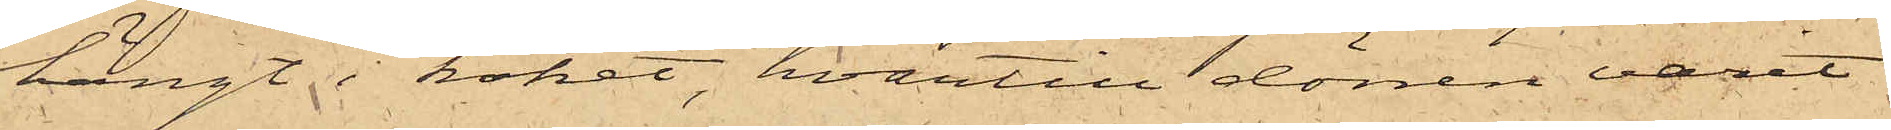hängt i köket, hvartill dörren varit
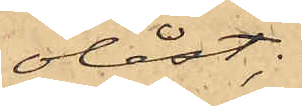olåst;
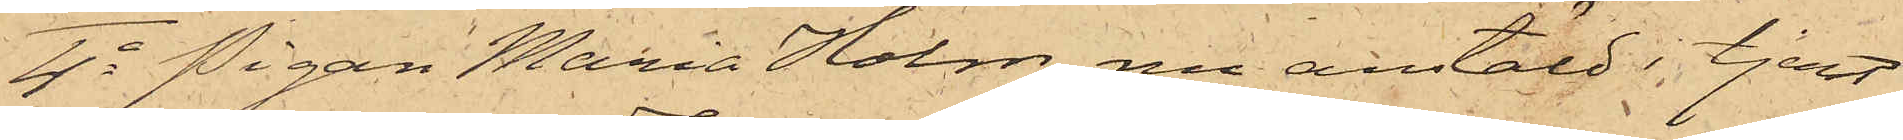4o Pigan Maria Holm, nu anstäld i tjenst
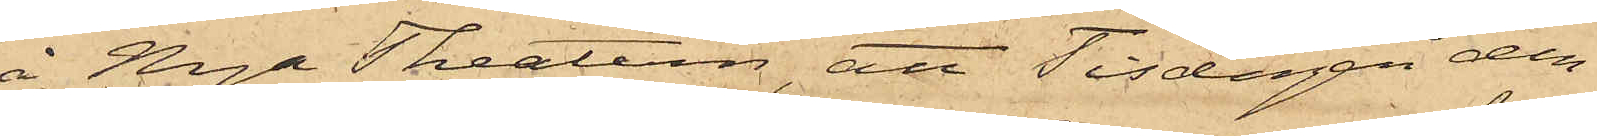å Nya Theatern, att Tisdagen den
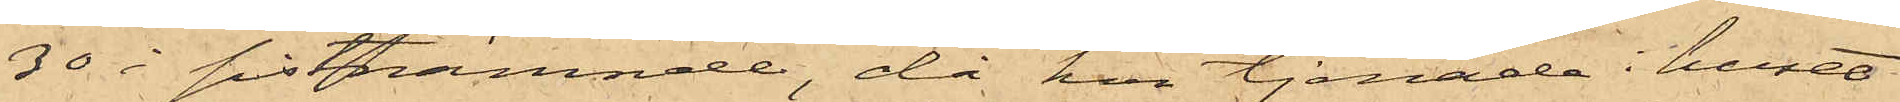30 i sistnämnde, då hon tjenade i huset
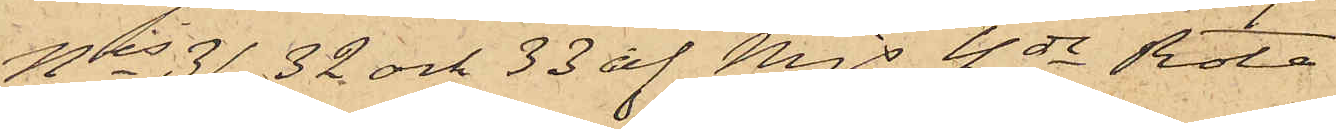Nis 31, 32 och 33 af Mjs 4de Rote
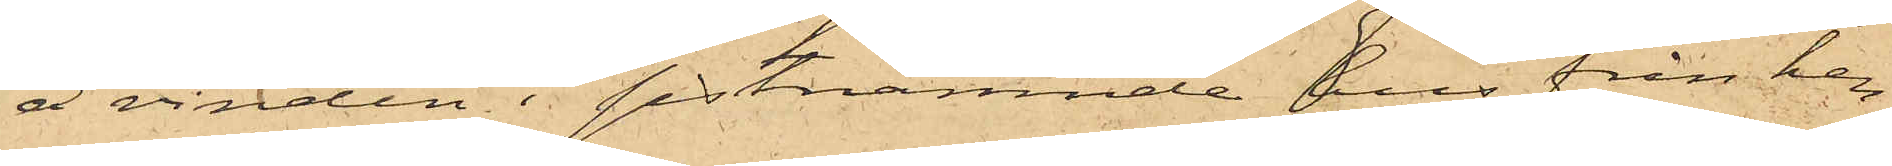å vinden i sistnämnde hus från hen¬
